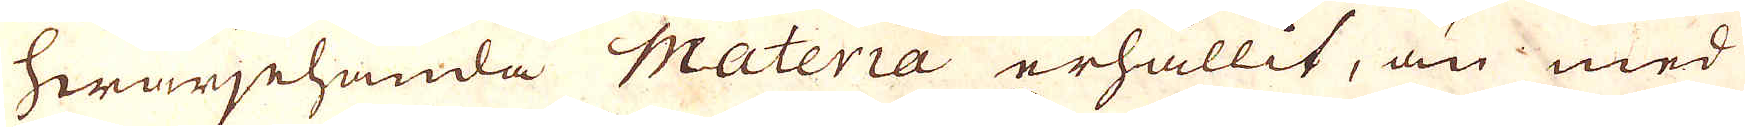hwarjehanda Materia erhållit, än med
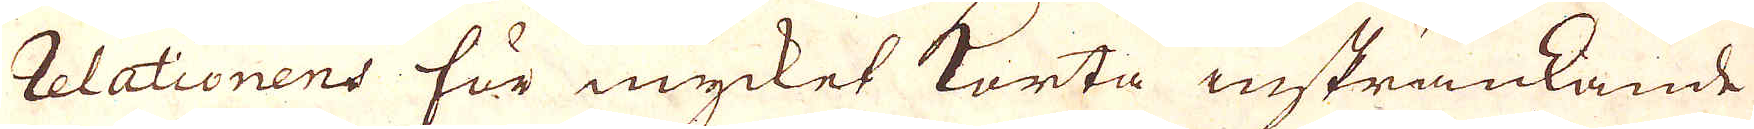relationens för mycket korta insträckande
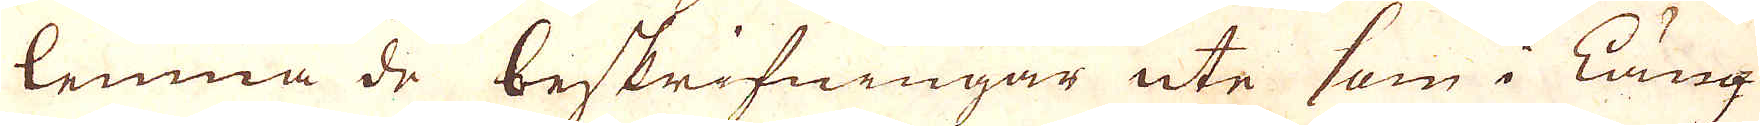lemna de beskrifningar ute som i läng-
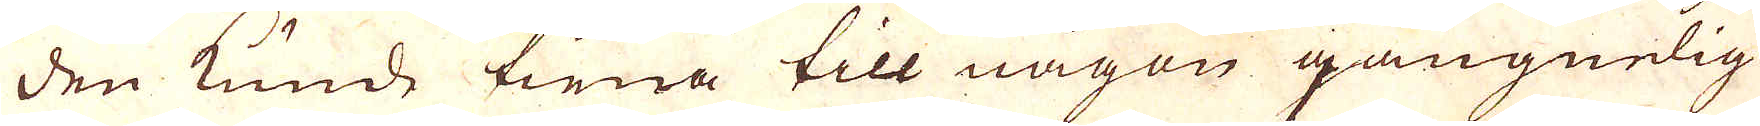den kunde tiena till någen gangnelig
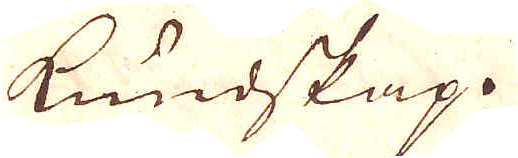kundskap.
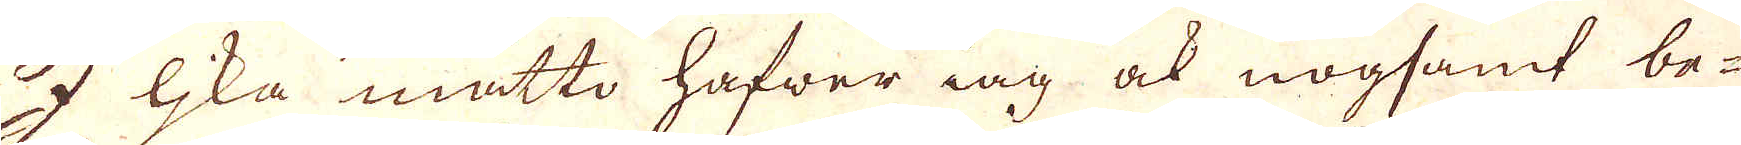I lika måtto hafwer iag ock nogsamt be-
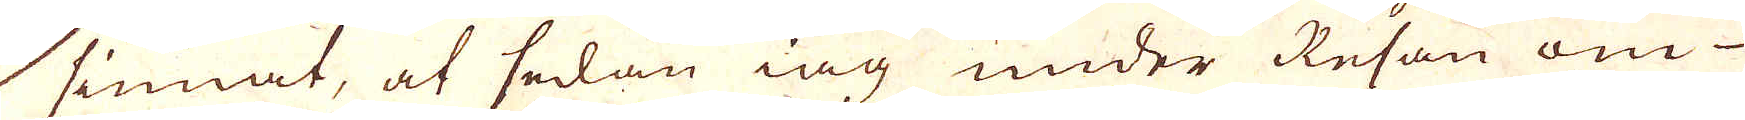 sinnat, at sedan iag under Resan om
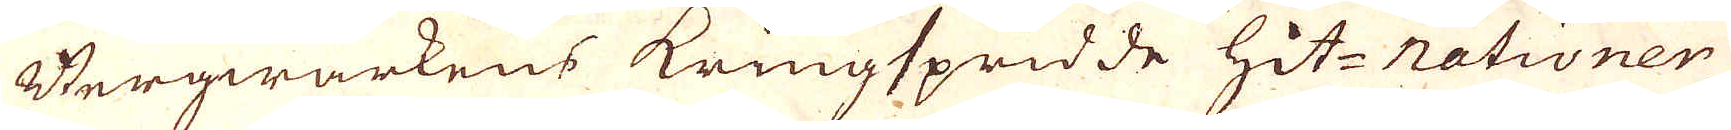Bergwärkens kringspridde hit- Nationer
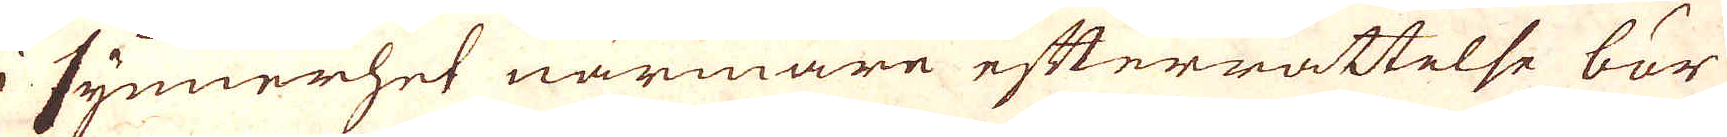i synnerhet närmare efterrättelse bör
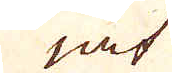iat
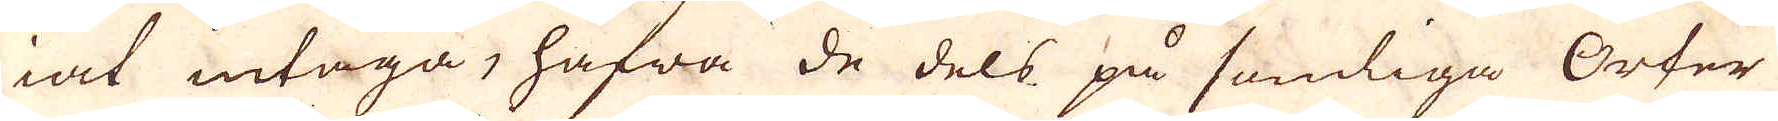iat intaga, hafwa de dels på somliga Orter
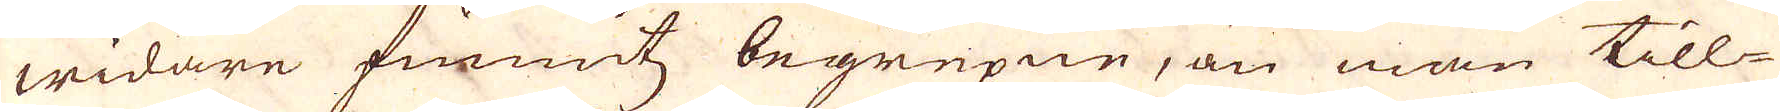widare funnitz begripen, än man till-
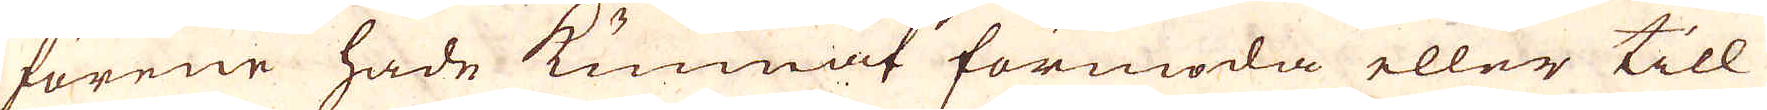förene hade kunnat förmoda eller till
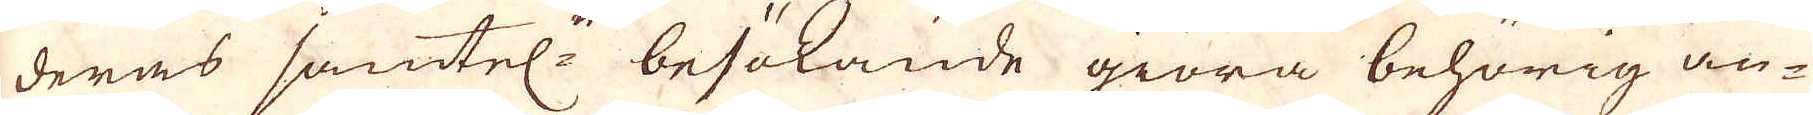deras samtel:e besökande giöra behörig an-
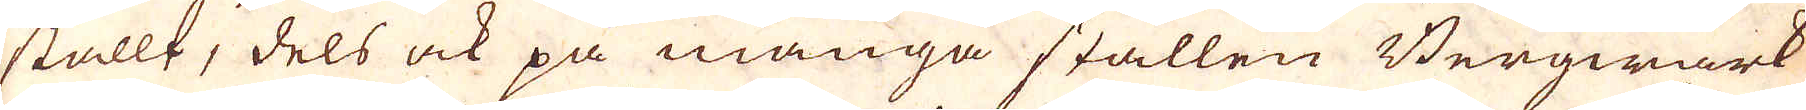stallt, dels ock på många ställen Bergwärk
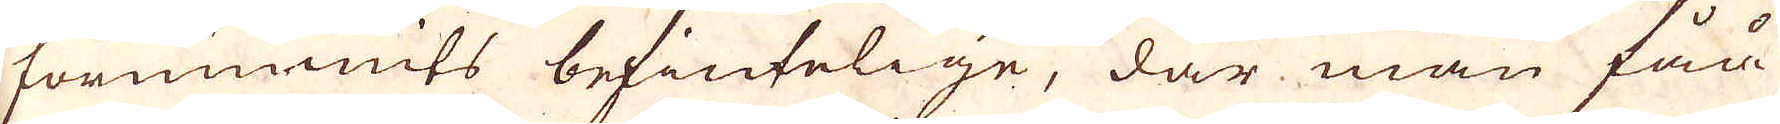förnummits befintelige, där man fåå
